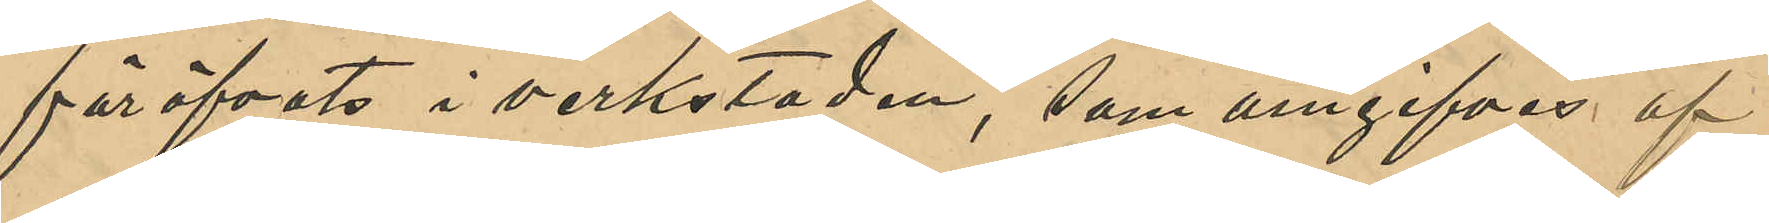föröfvats i verkstaden, som omgifves af
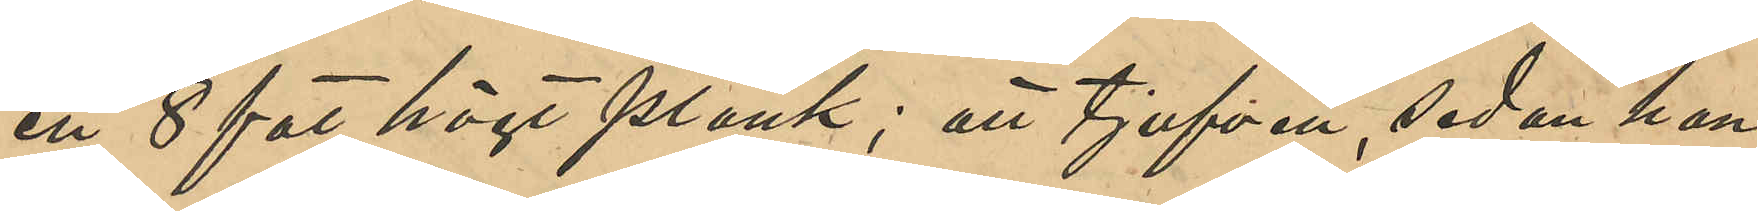ett 8 fot högt plank; att tjufven, sedan han
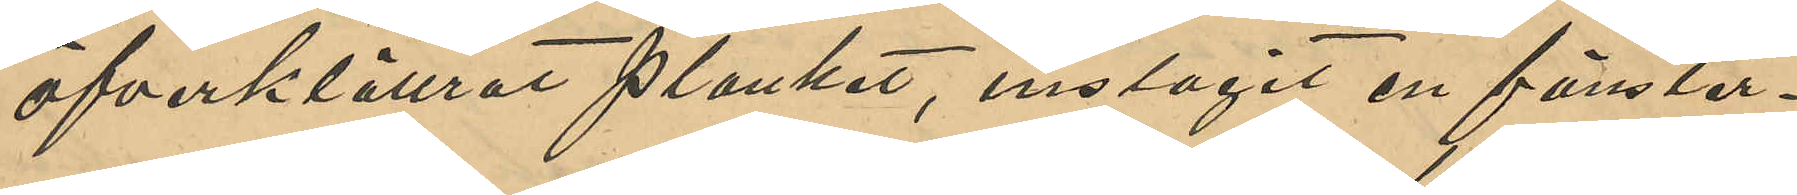öfverklättrat planket, inslagit en fönster¬
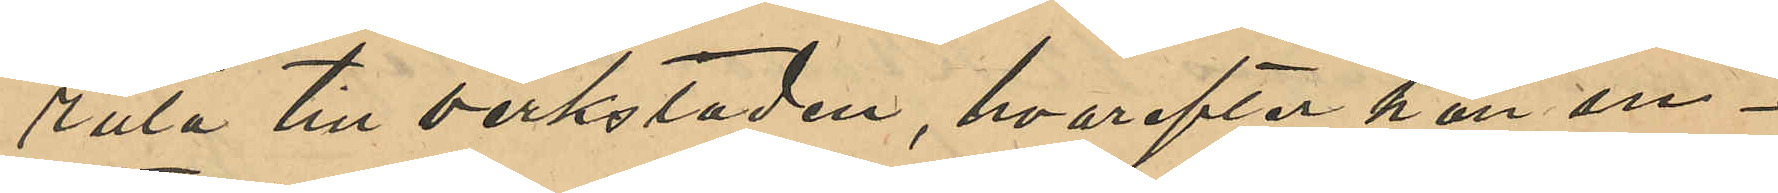ruta till verkstaden, hvarefter han in¬
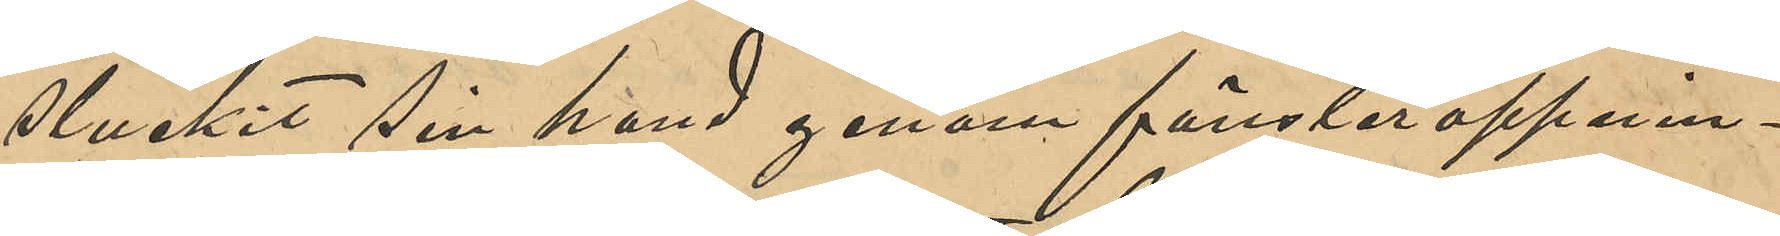stuckit sin hand genom fönsteröppnin¬
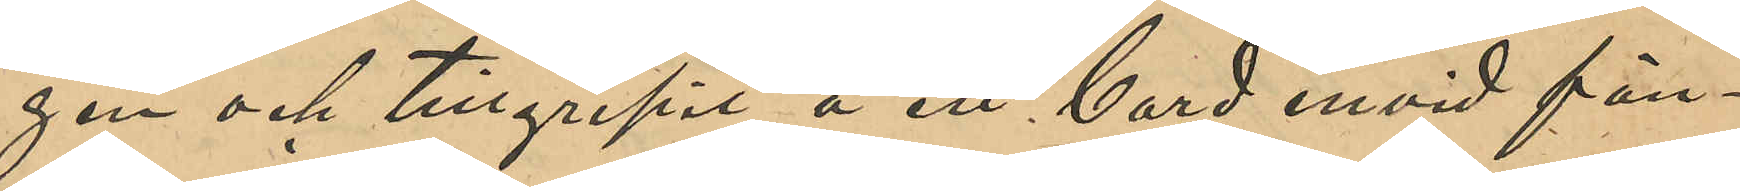gen och tillgripit å ett bord invid fön¬
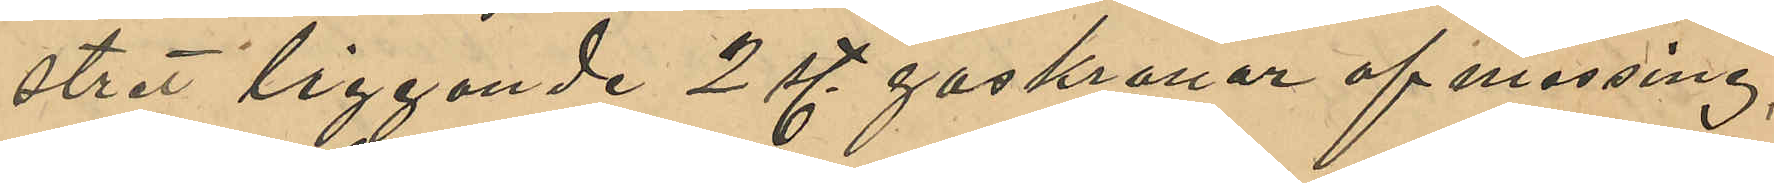stret liggande 2 st. gaskranar af messing,
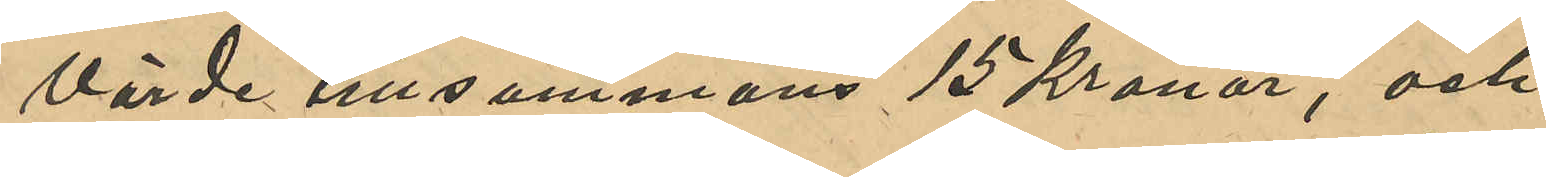värde tillsammans 15 Kronor, och
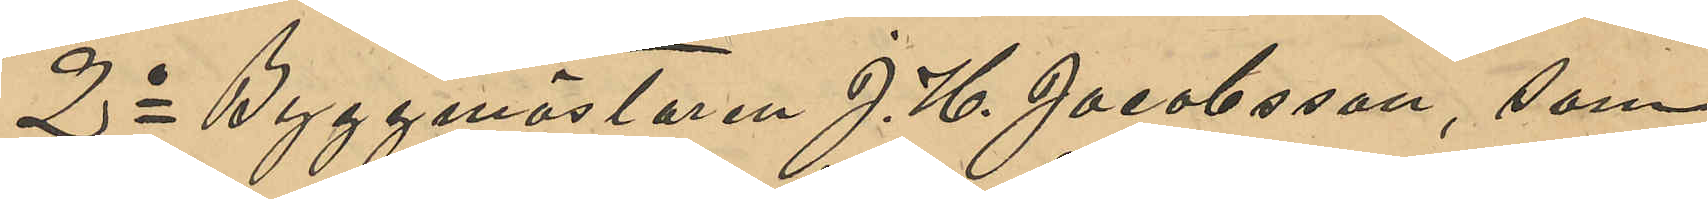2o Byggmästaren J. H. Jacobsson, som
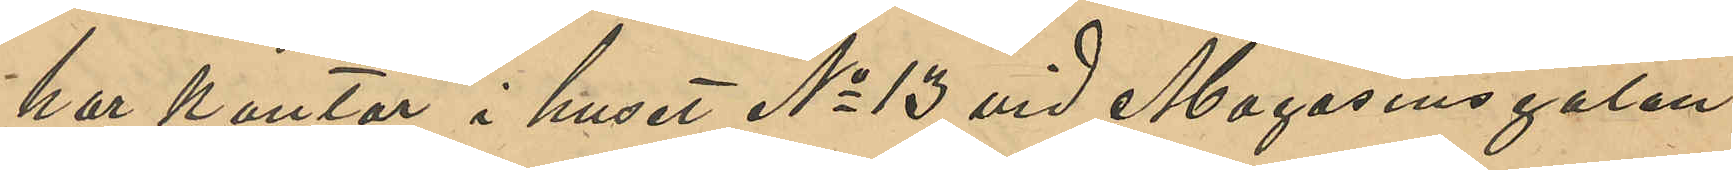har kontor i huset No 13 vid Magasinsgatan,
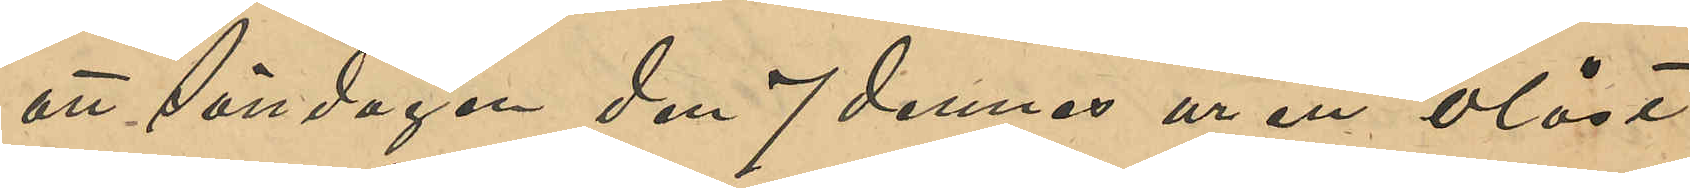att Söndagen den 7 dennes ur ett olåst
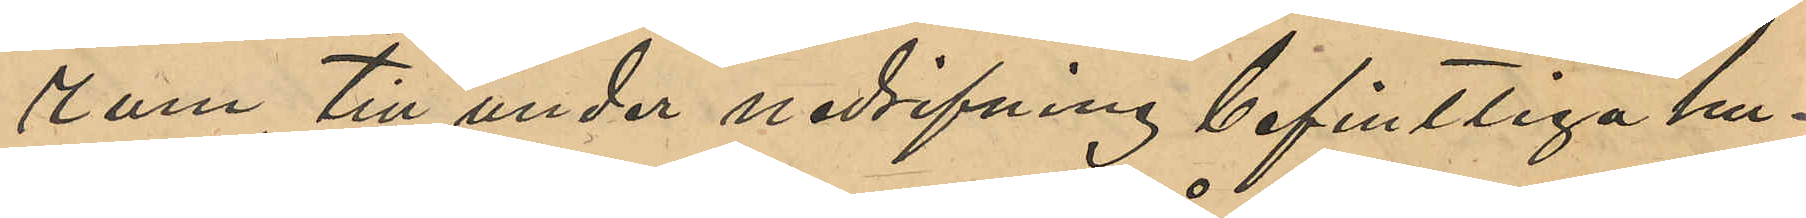rum, till under nedrifning befintliga hu¬
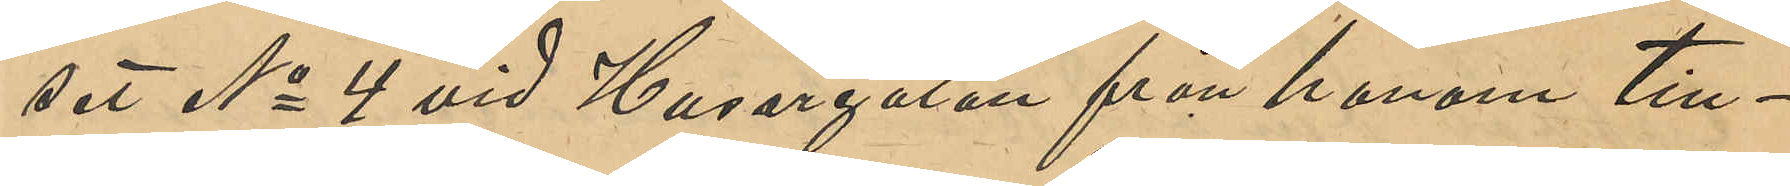set No 4 vid Husargatan från honom till¬
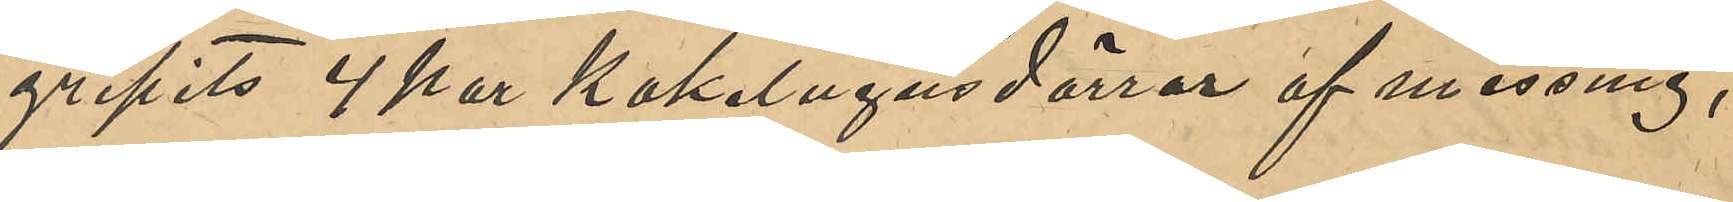gripits 4 par Kakelugnsdörrar af messing,
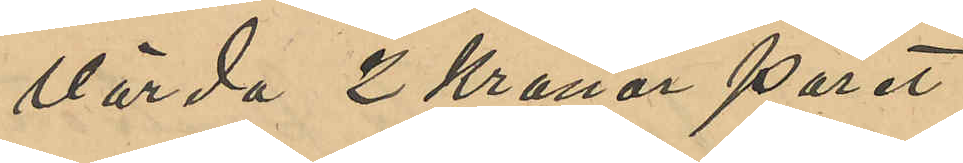värda 2 Kronor paret.
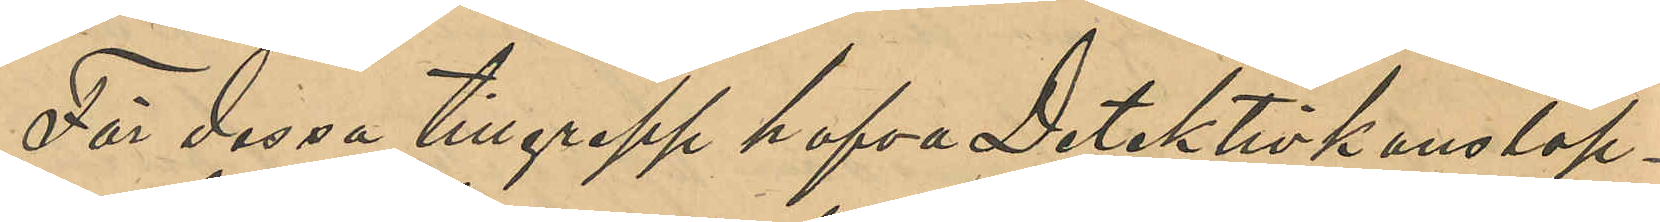För dessa tillgrepp hafva Detektivkonstap¬
